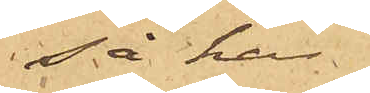så har
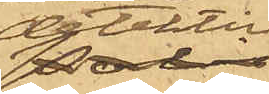detektiv¬
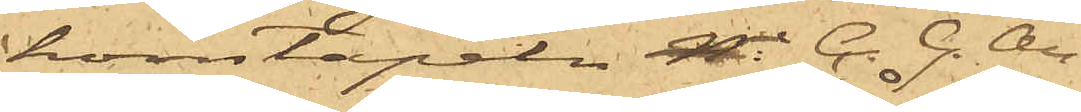konstapeln C. G. An¬
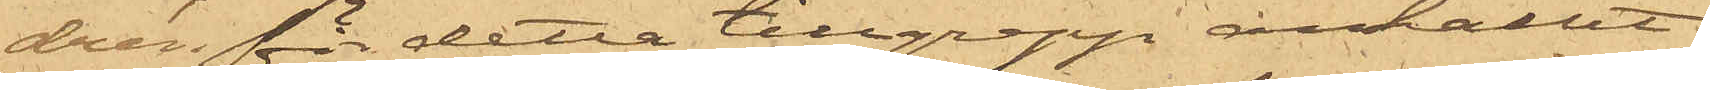drén för detta tillgrepp anhållit
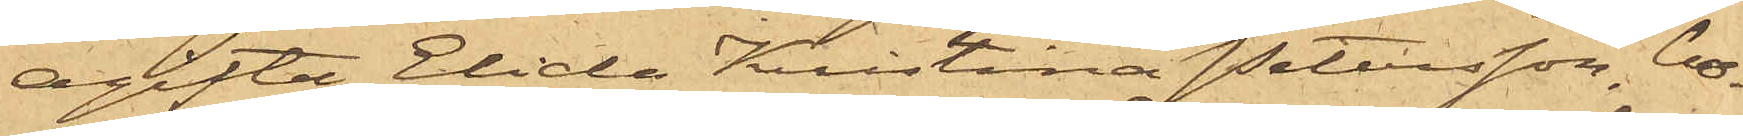Ogifta Elida Kristina Petersson, bo¬
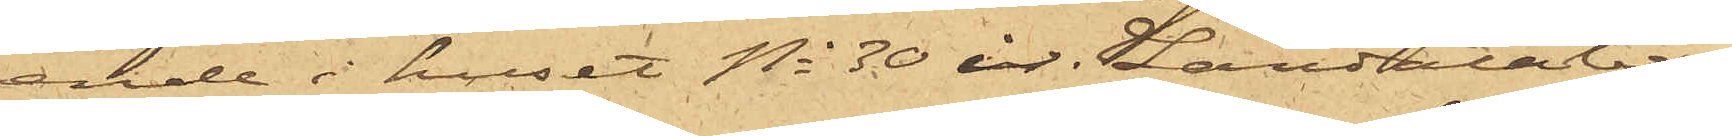ende i huset No 30 i Landalaber¬
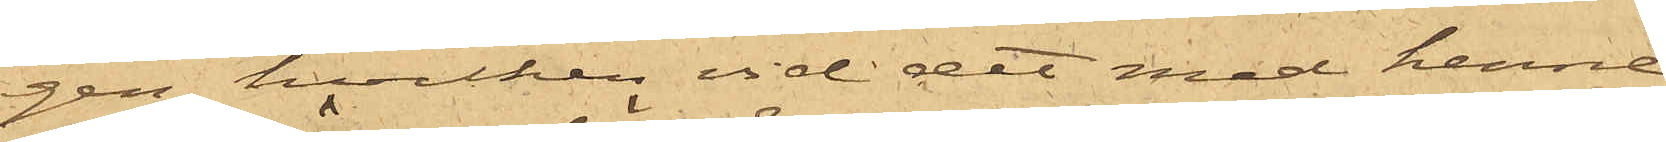gen, hvilken vid det med henne
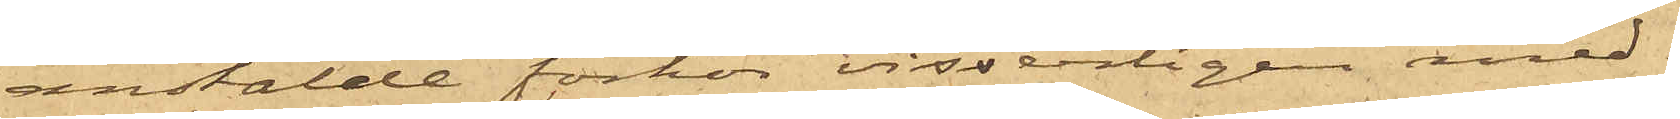anstälde förhör visserligen med¬
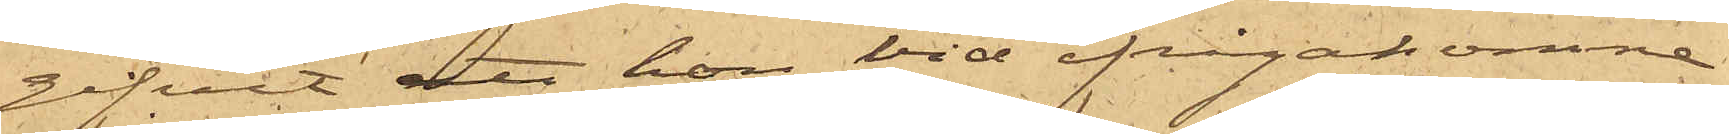gifvit att hon vid ifrågakomne
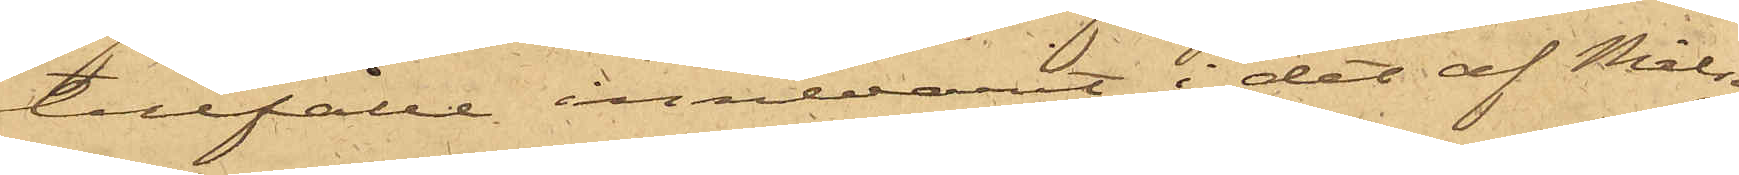tillfälle innevarit i det af Målseg.
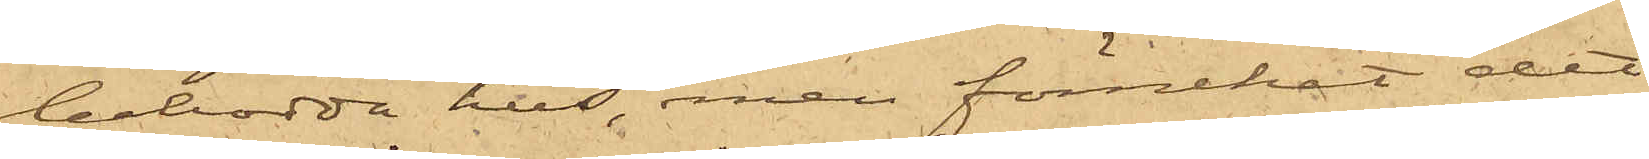bebodda hus, men förnekat det
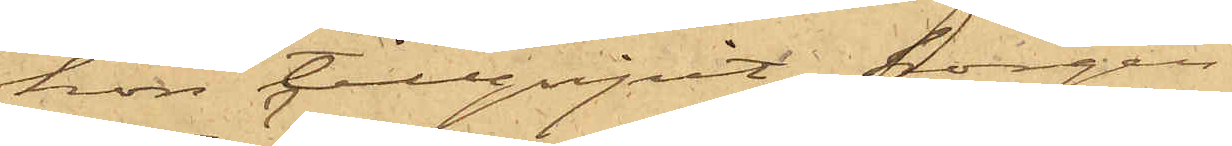hon tillgripit korgen.
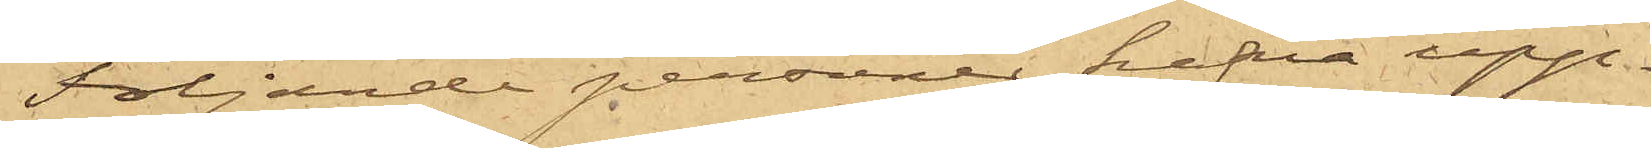Följande personer hafva upp¬
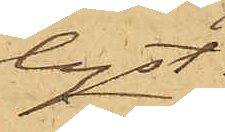lyst:
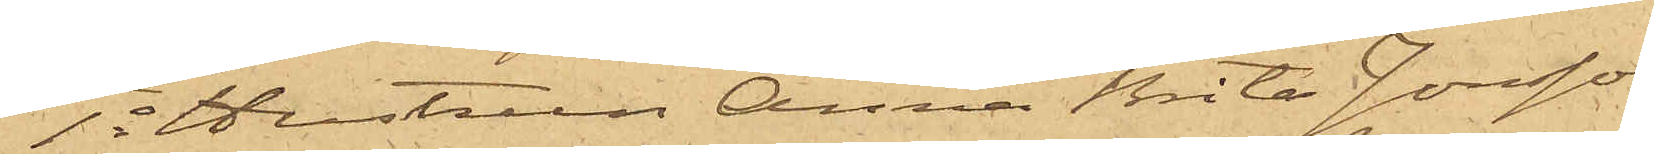1o Hustrun Anna Brita Jonsson,
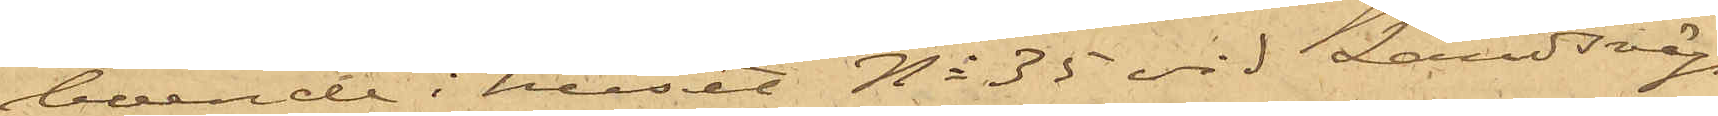boende i huset No 35 vid Landsvägs¬
